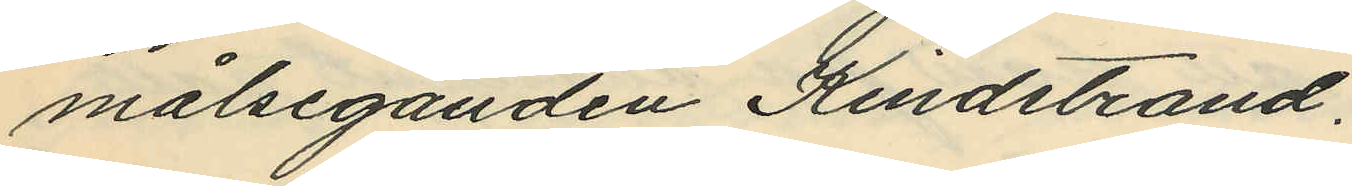målseganden Kindstrand.
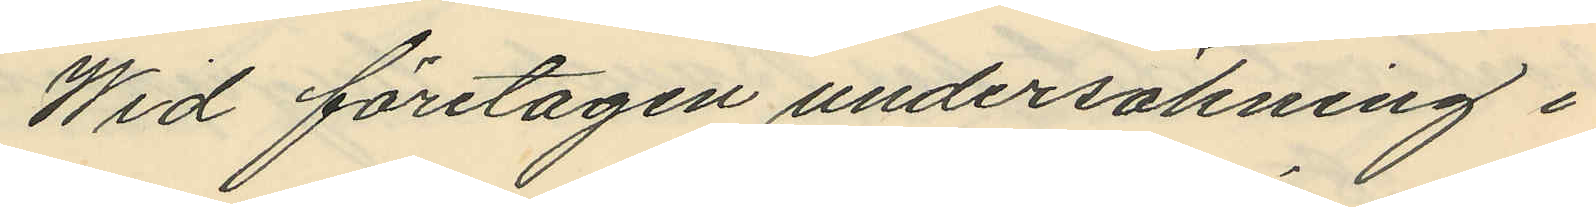Wid företagen undersökning i
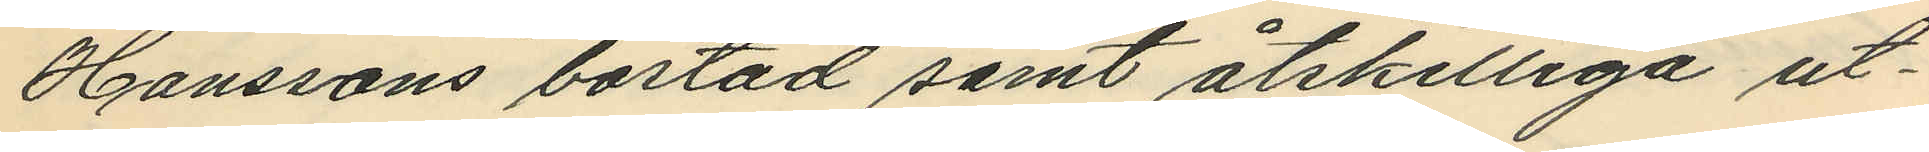Hanssons bostad samt åtskilliga ut¬
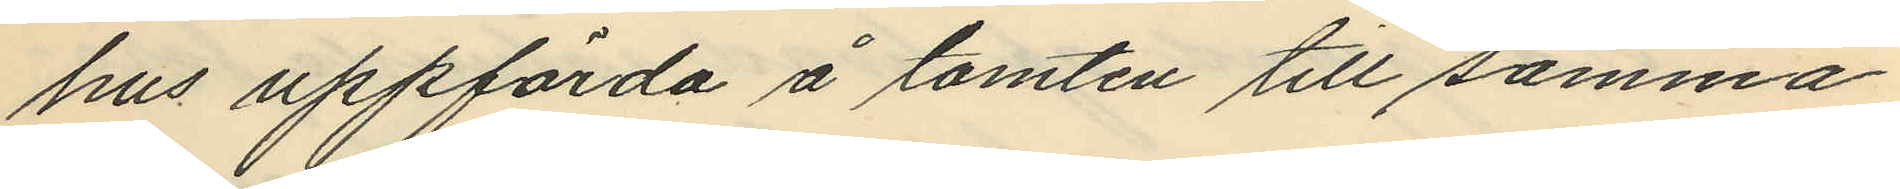hus uppförda å tomten till samma
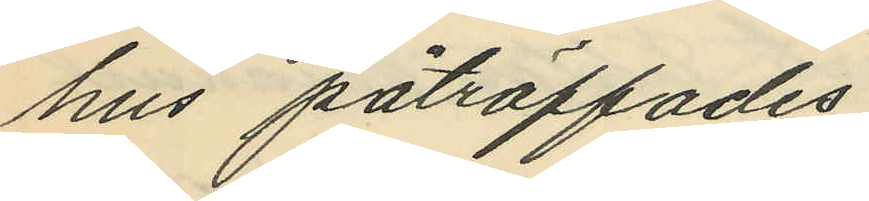hus påträffades
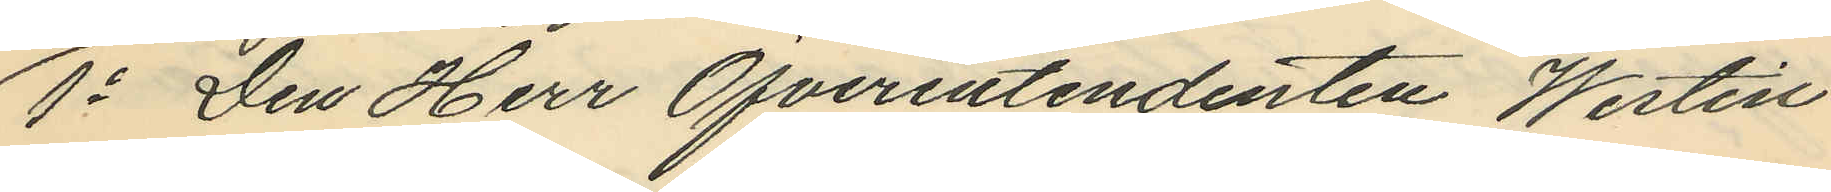1o Den Herr Öfverentendenten Westin
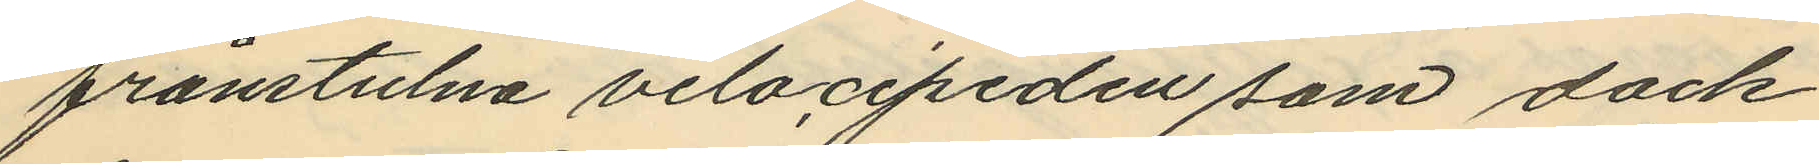frånstulna velocipeden som dock
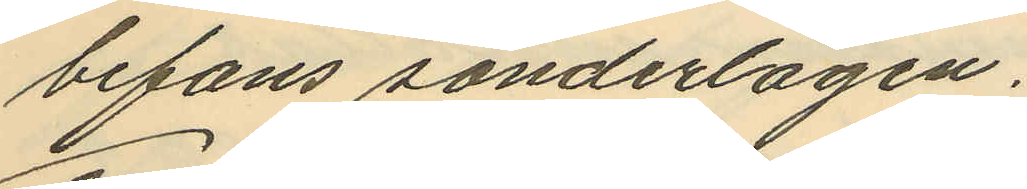befans sönderlagen.
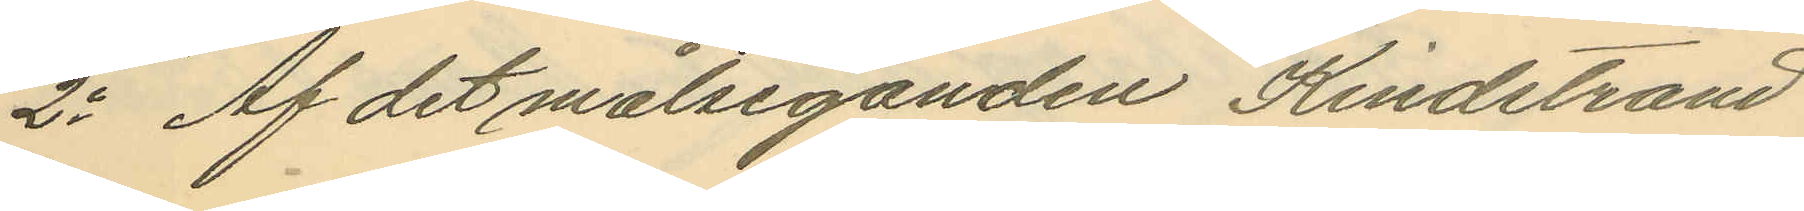2o Af det målseganden Kindstrand
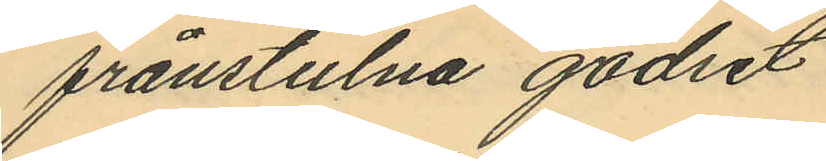frånstulna godset
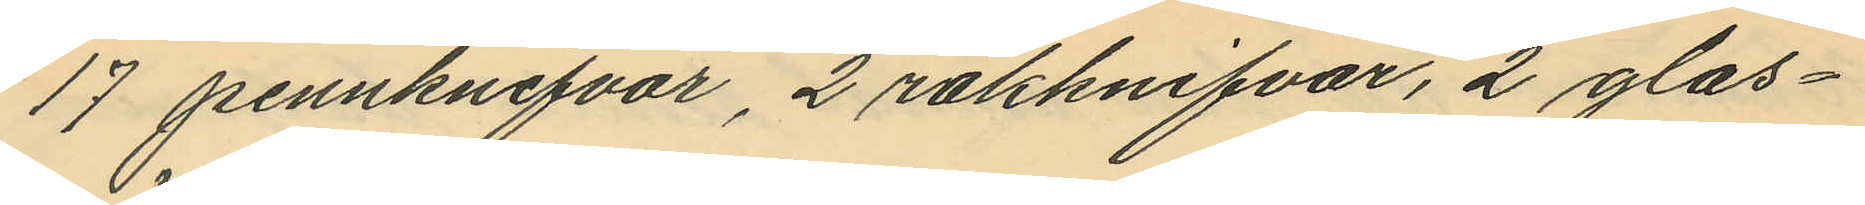17 pennknifvar, 2 rakknifvar, 2 glas¬
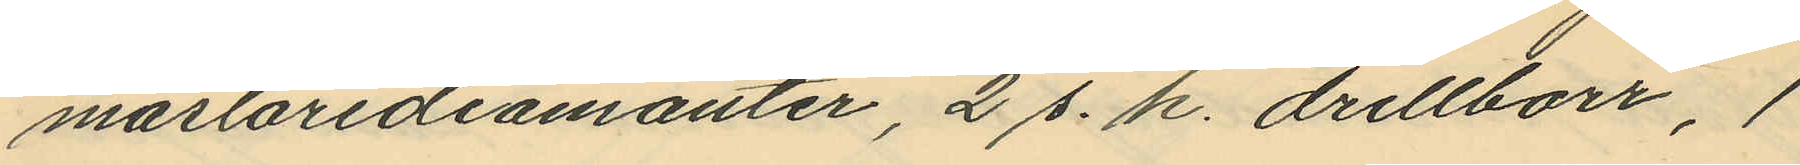mästarediamanter, 2 s. k. drillborr, 1
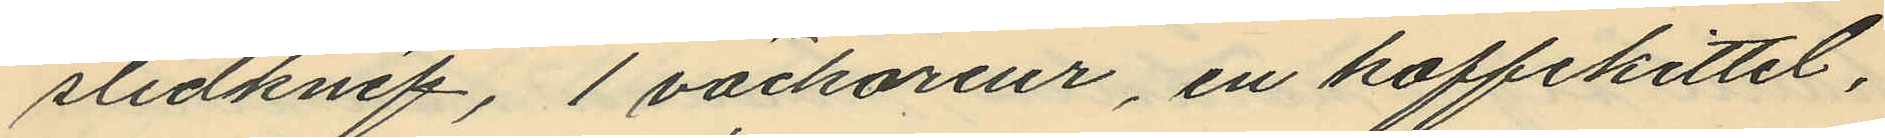slidknif, 1 väckareur, en kaffekittel,
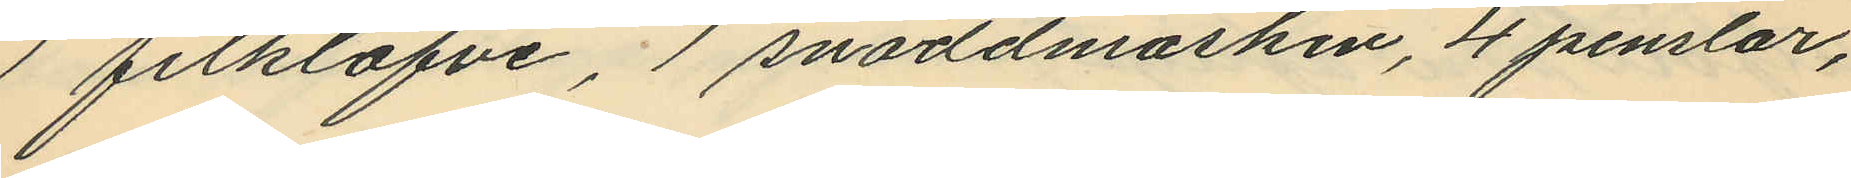1 filklafve, 1 snoddmaskin, 4 penslar,
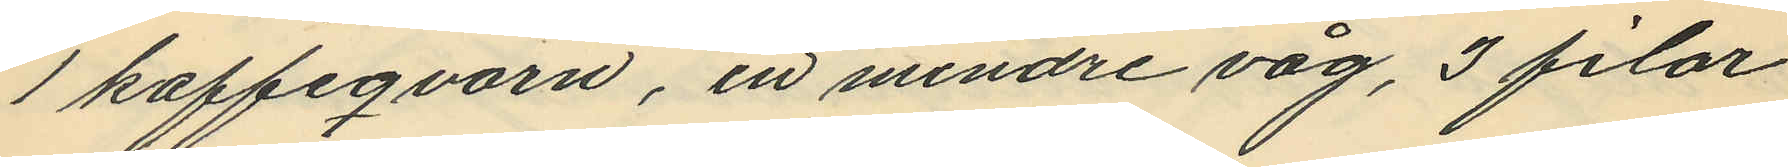1 kaffeqvarn, en mindre våg, 3 filar
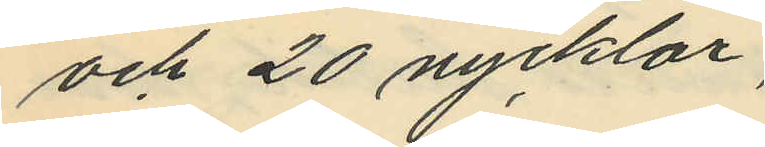och 20 nycklar;
